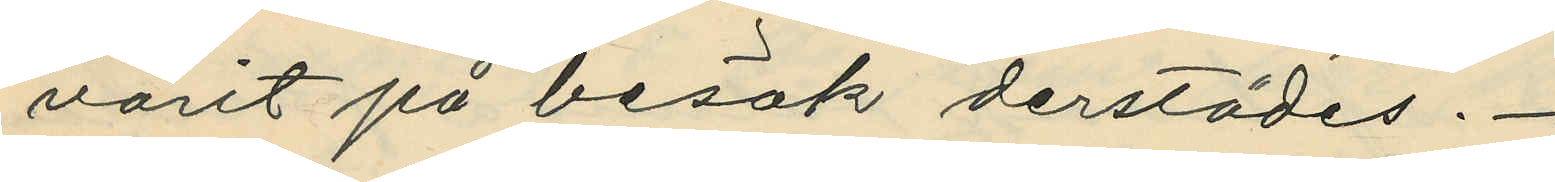varit på besök derstädes.
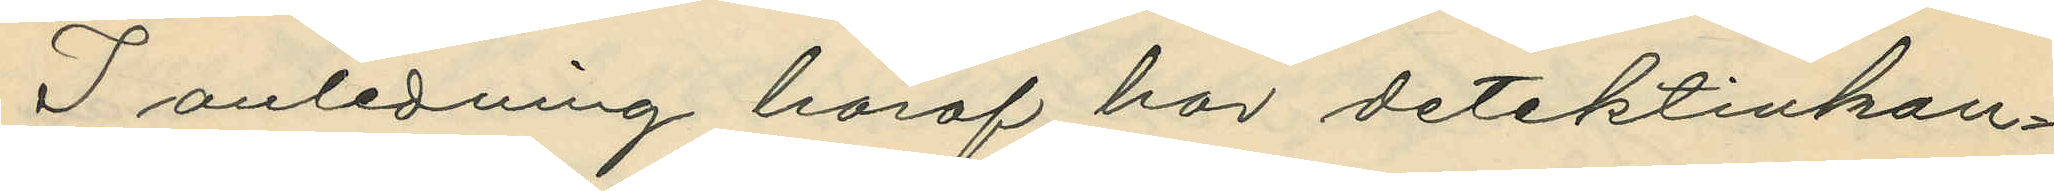I anledning häraf har detektivkon¬
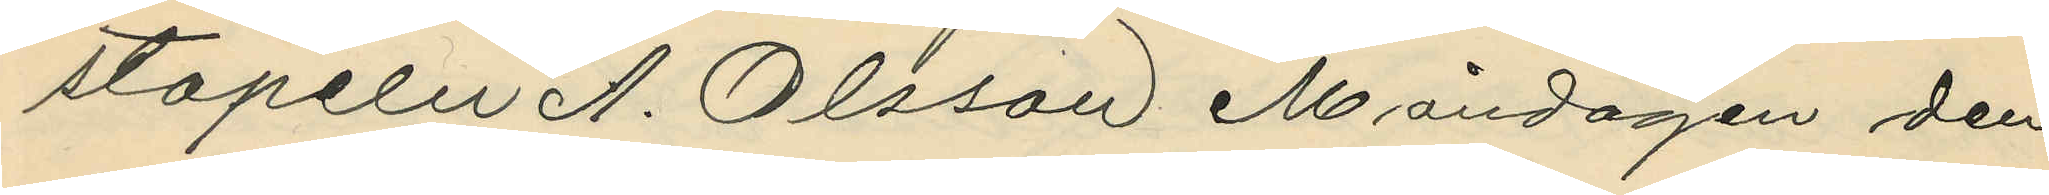stapeln A. Olsson Måndagen den
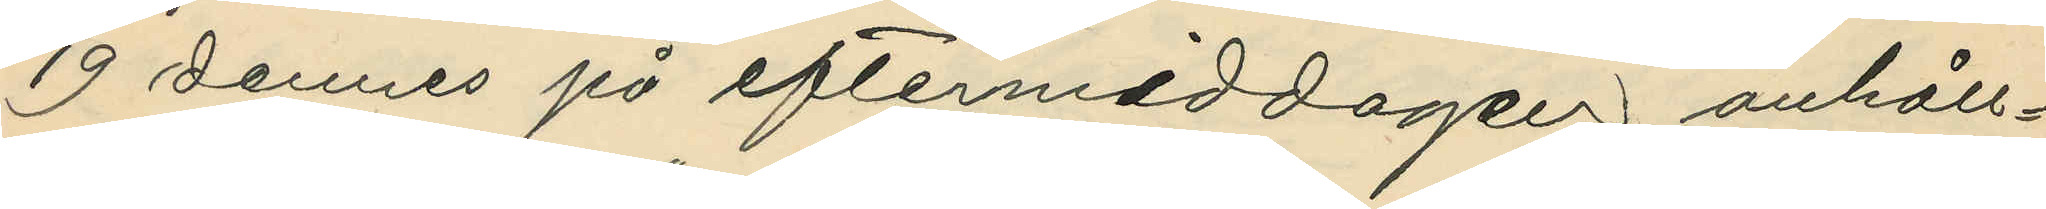19 dennes på eftermiddagen anhåll¬
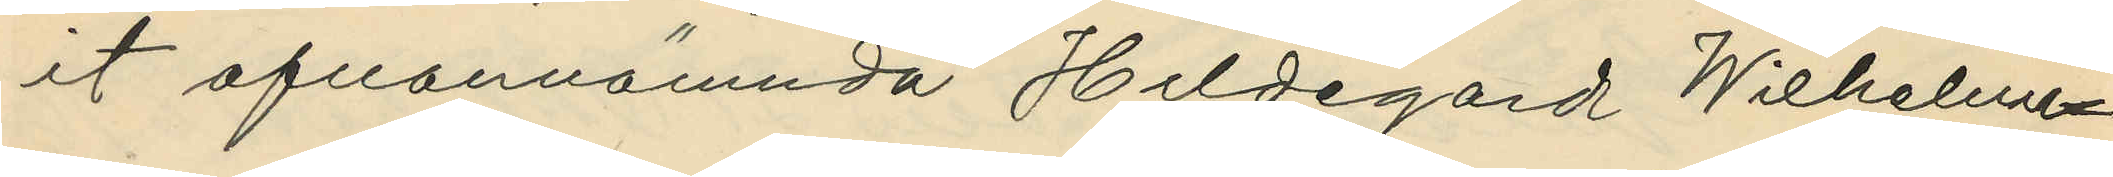it ofvannämnda Hildegard Wilhelmi¬
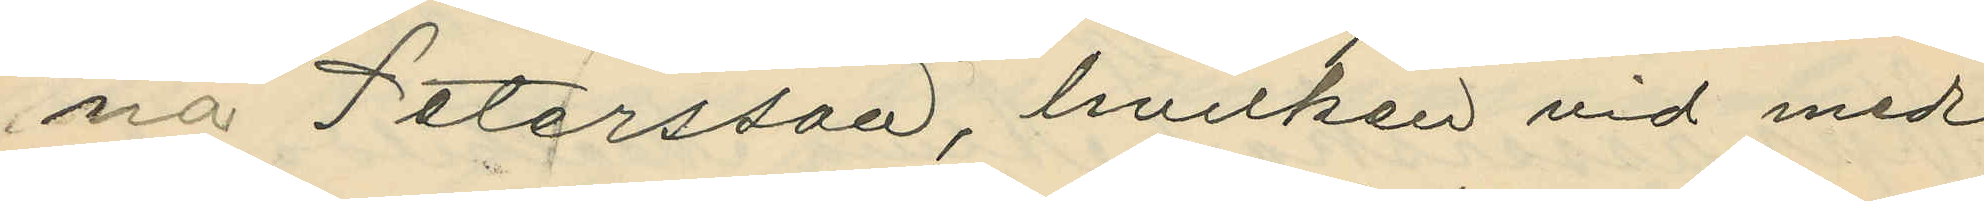na Petersson, hvilken vid med
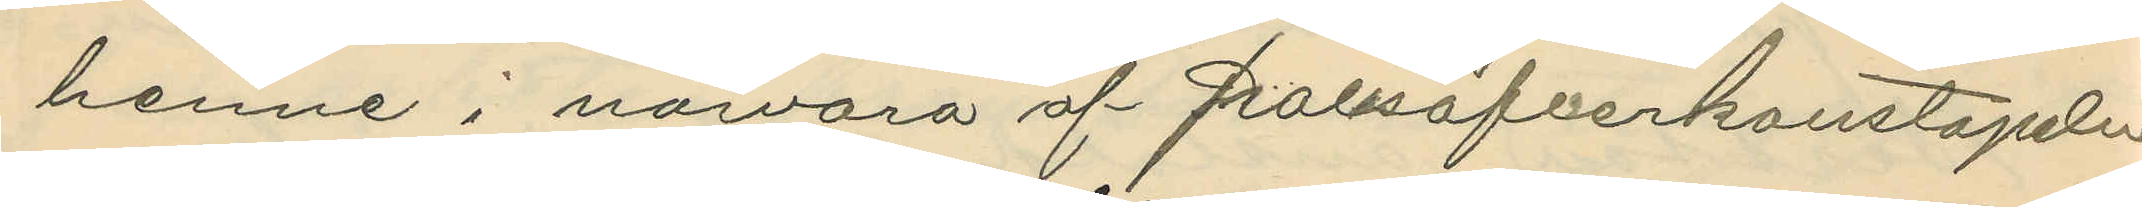henne i närvaro af polisöfverkonstapeln
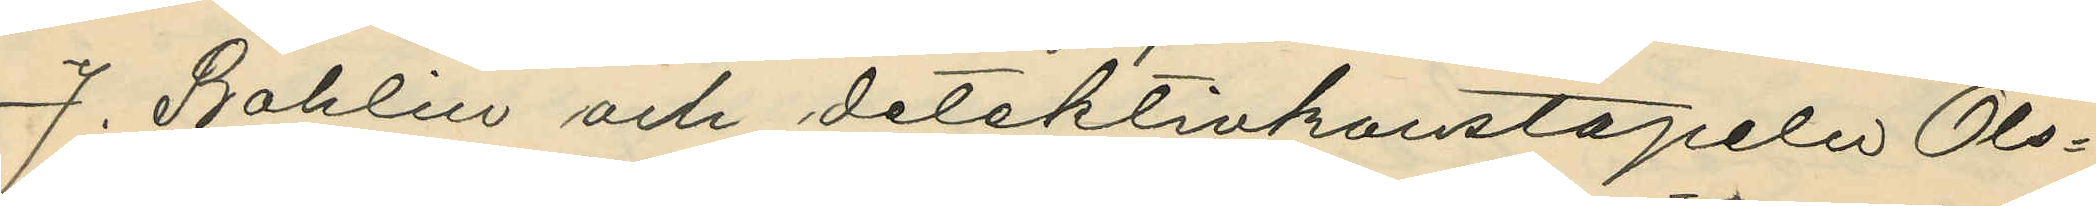J. Bohlin och detektivkonstapeln Ols¬
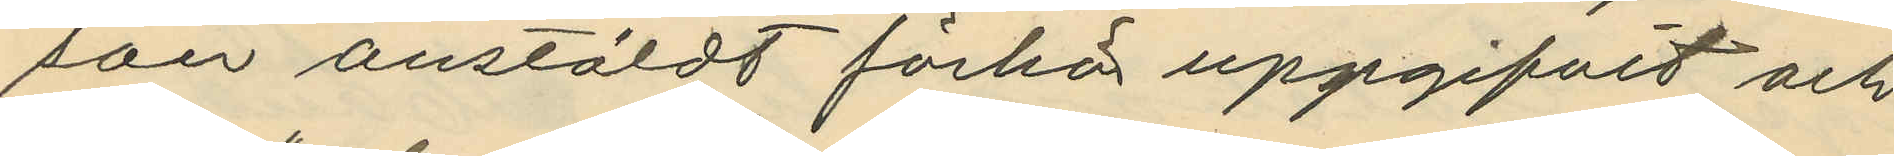son anstäldt förhör uppgifvit och
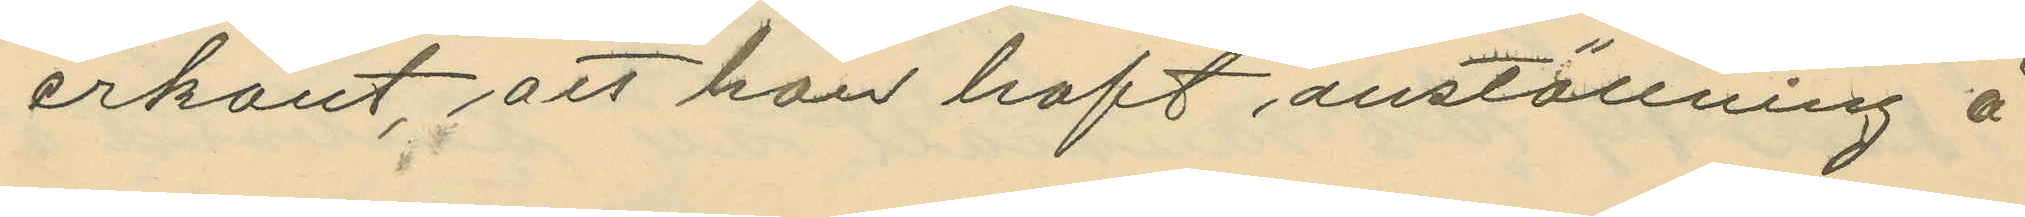erkänt, att hon haft anställning å
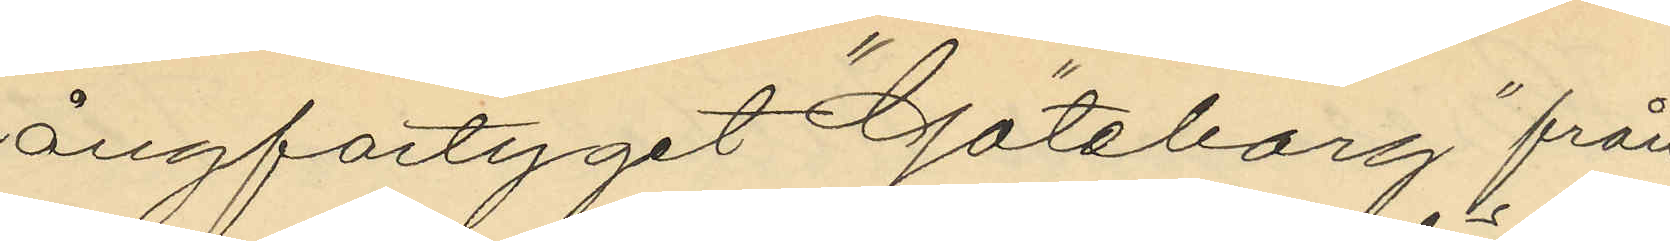ångfartyget "Göteborg" från
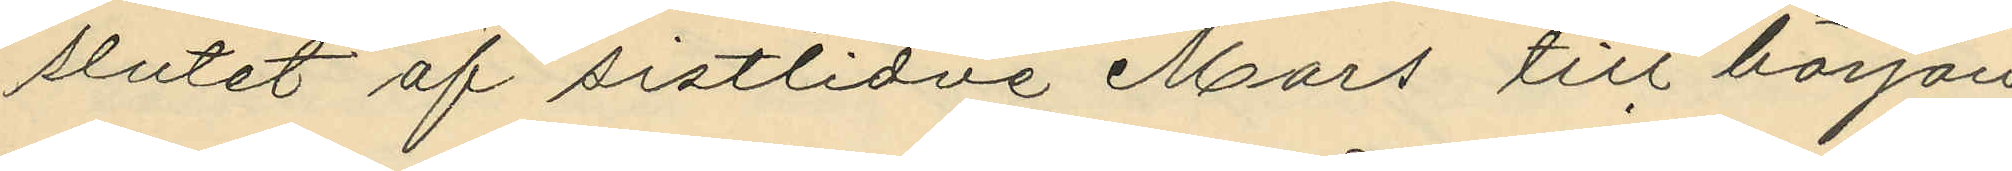slutet af sistlidne Mars till början
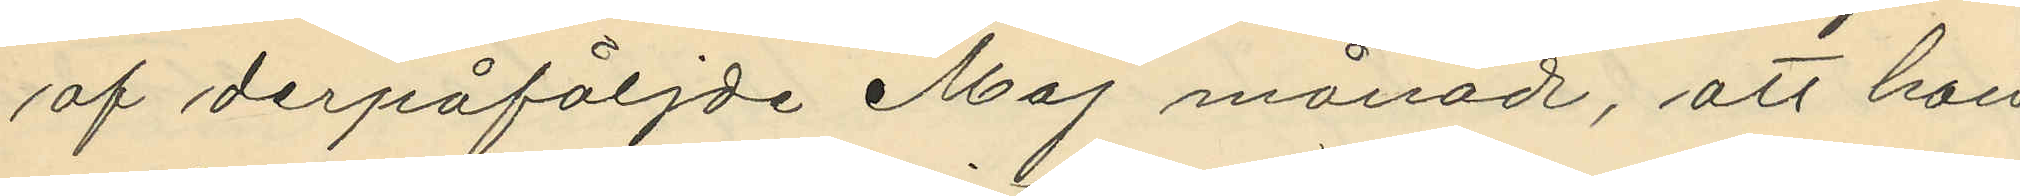af derpåföljde Maj månad, att hon
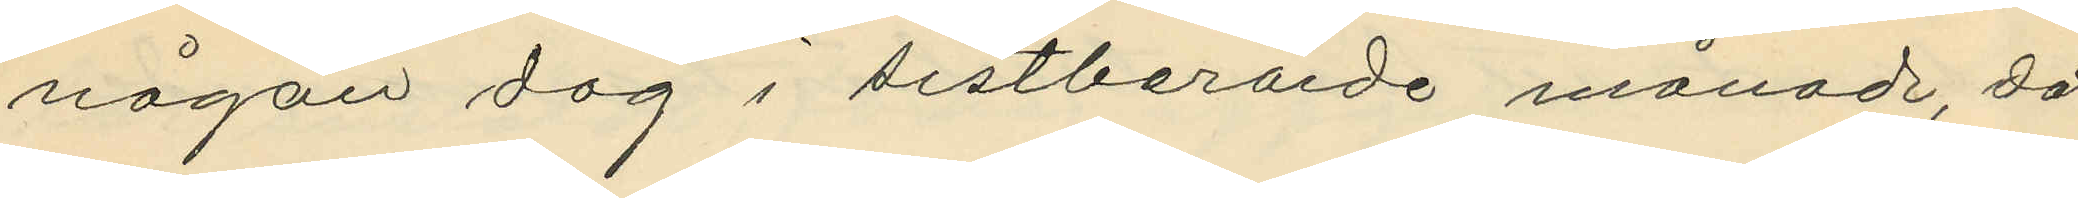någon dag i sistberörde månad, då
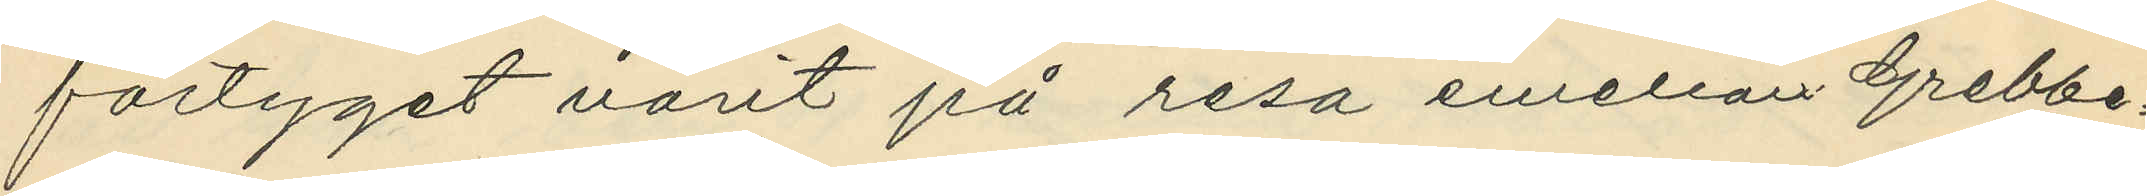fartyget varit på resa emellan Grebbe¬
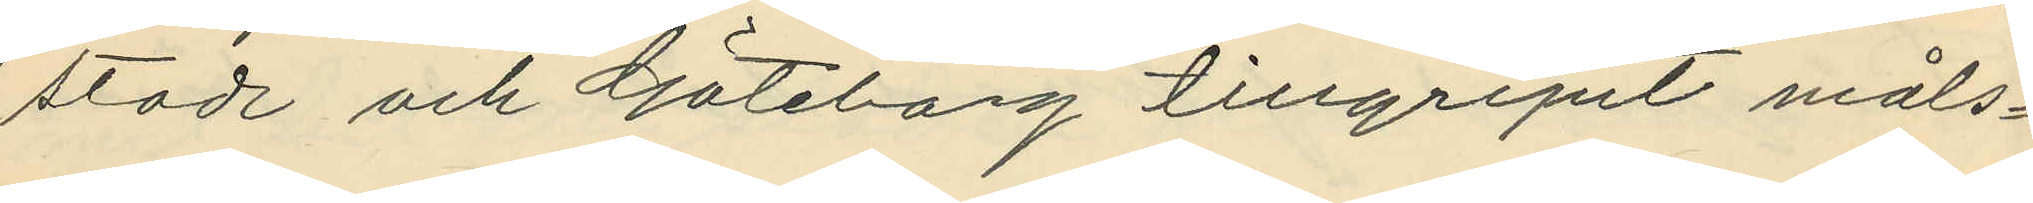stad och Göteborg tillgripit måls¬
